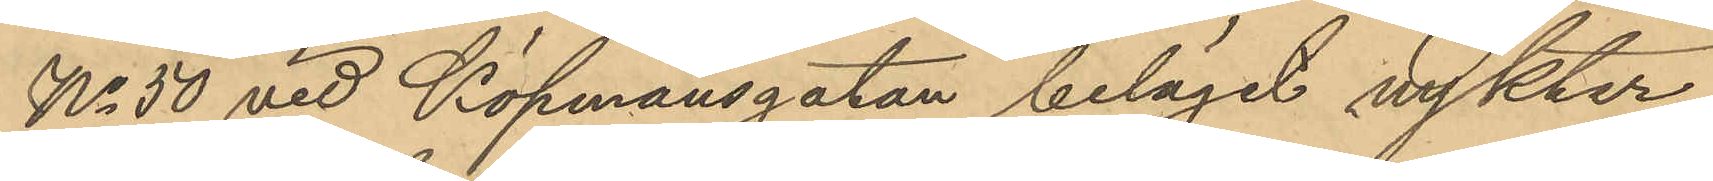No 50 vid Köpmansgatan beläget nykter¬
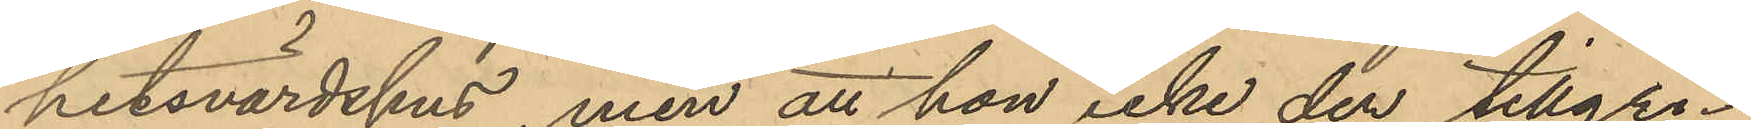hetsvärdshus, men att hon icke der tillgri¬
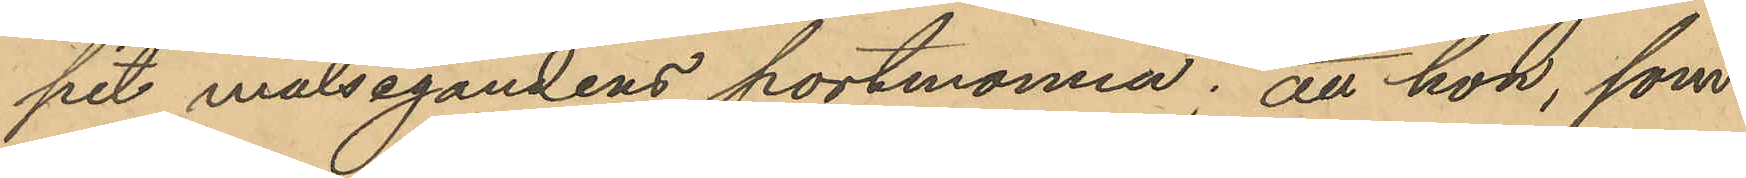pit målsegandens portmonnä; att hon, som
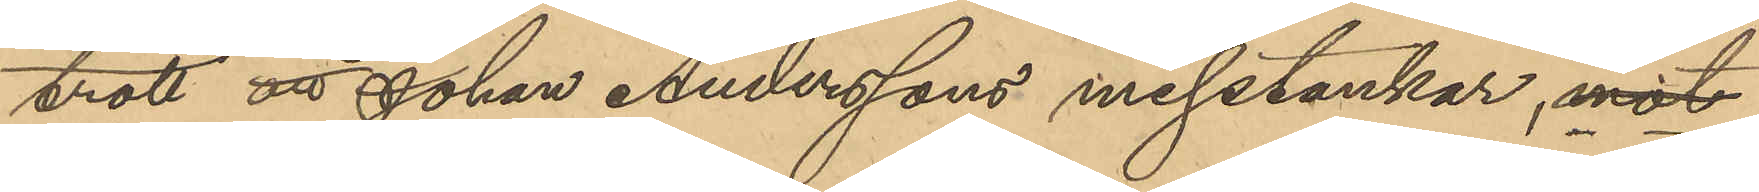trott att Johan Anderssons misstankar, mot
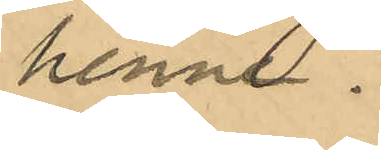henne.
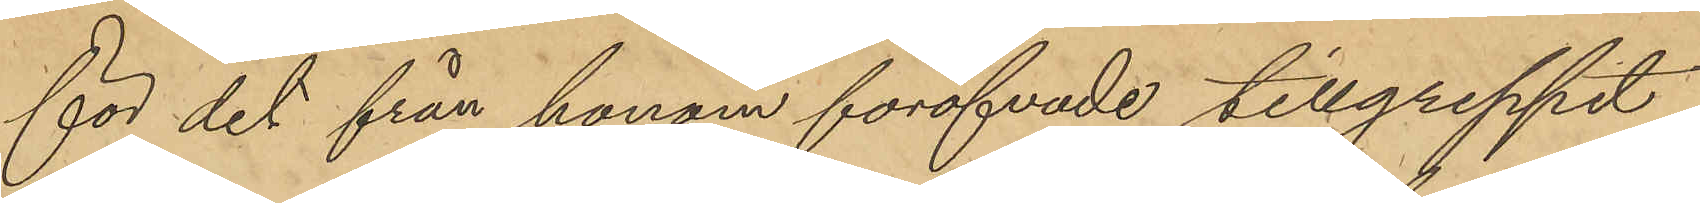för det från honom föröfvade tillgreppet
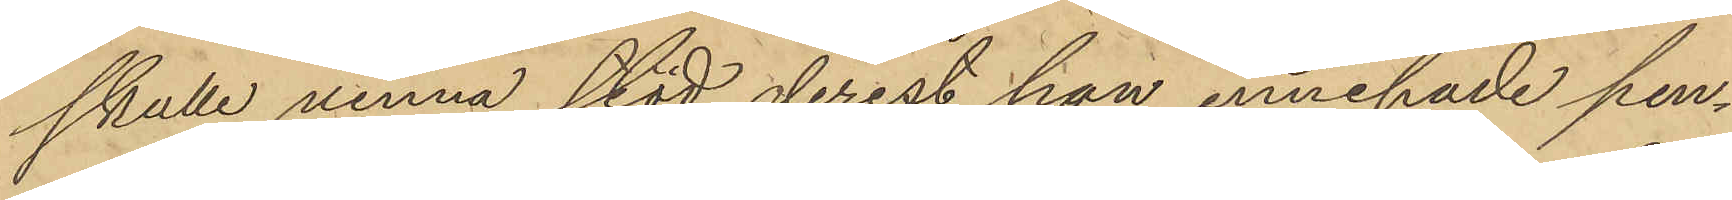skulle vinna stöd derest hon innehade pen¬
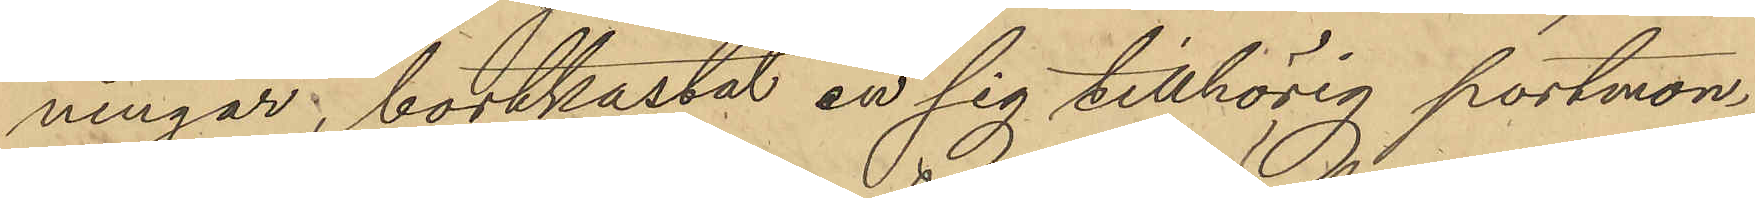ningar, bortkastat en sig tillhörig portmon¬
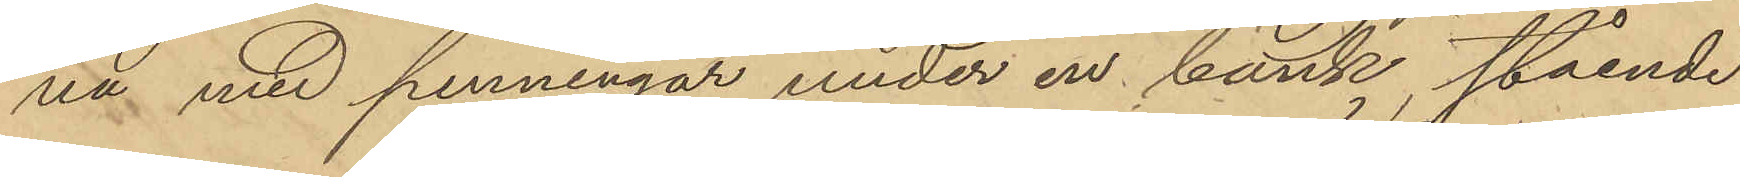nä med penningar under en bänk stående
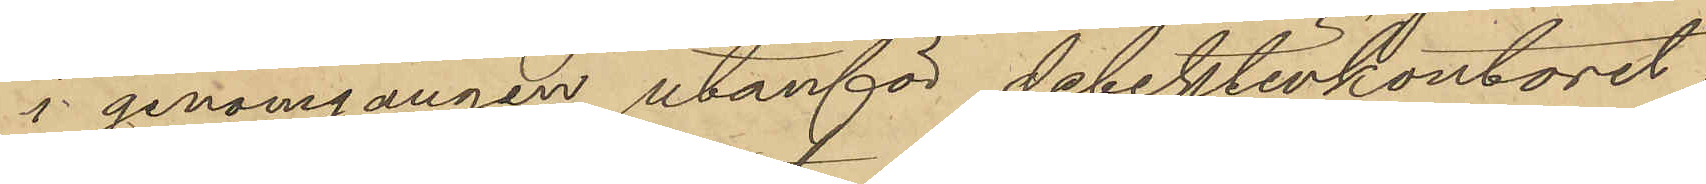i genomgången utanför detektivkontoret
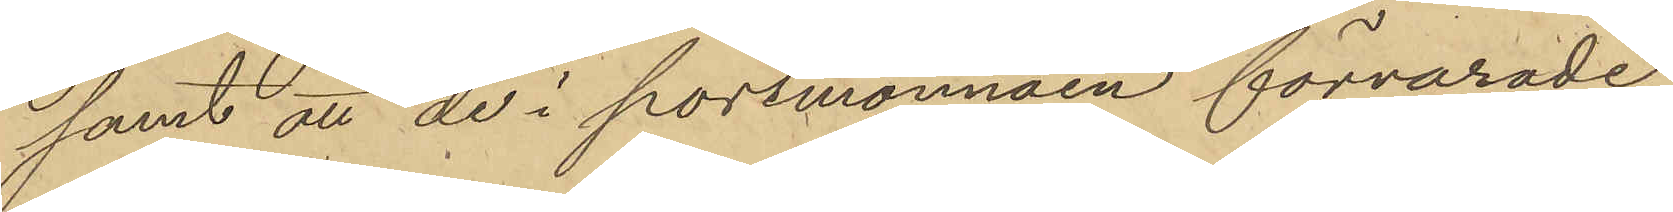samt att de i portmonnäen förvarade
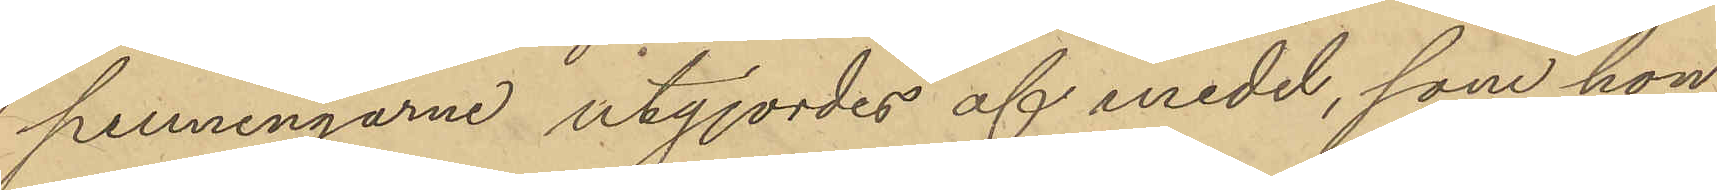penningarne utgjordes af medel, som hon
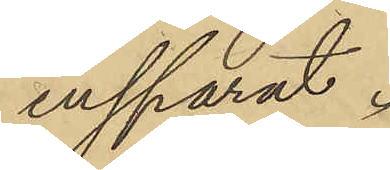insparat.
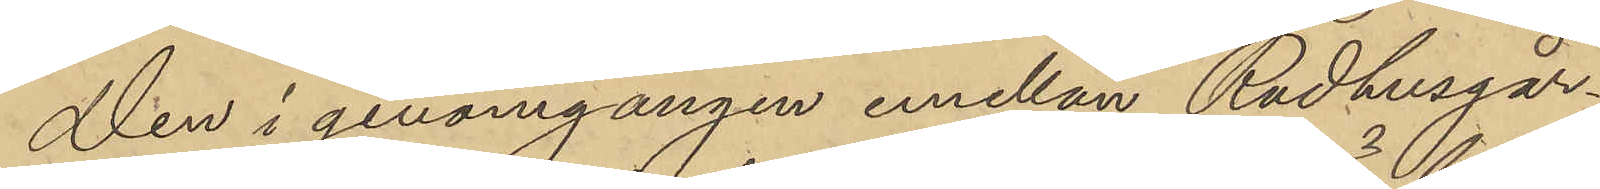Den i genomgången emellan Rådhusgår¬
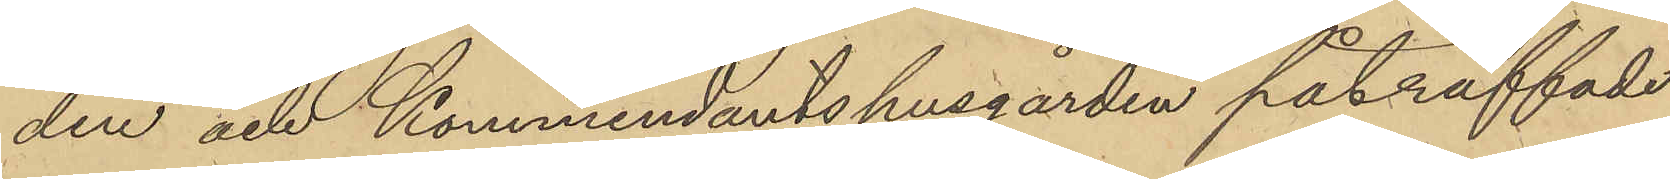den och Kommendantshusgården påträffade
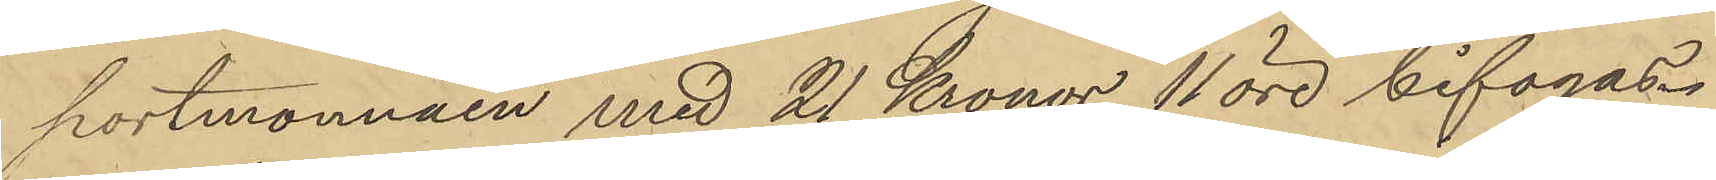portmonnäen med 21 Kronor 11 öre bifogas.
